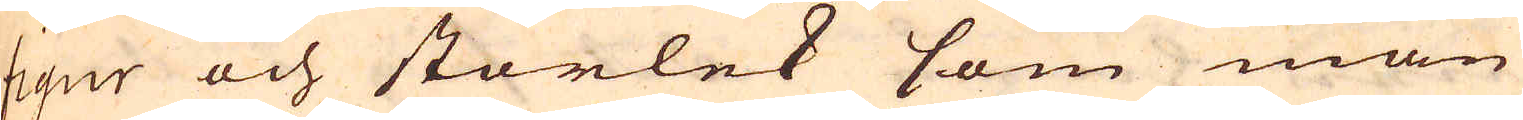figur och storlek som man
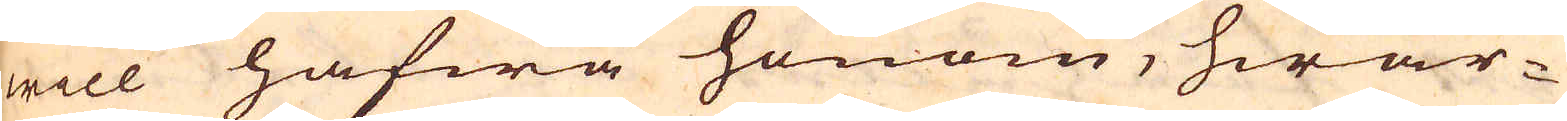will hafwa honom, hwar-
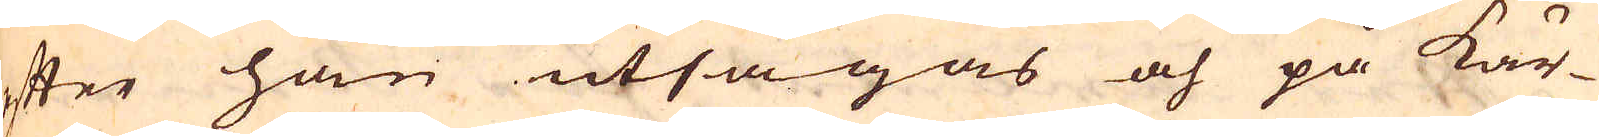efter han utsågas och på kär-
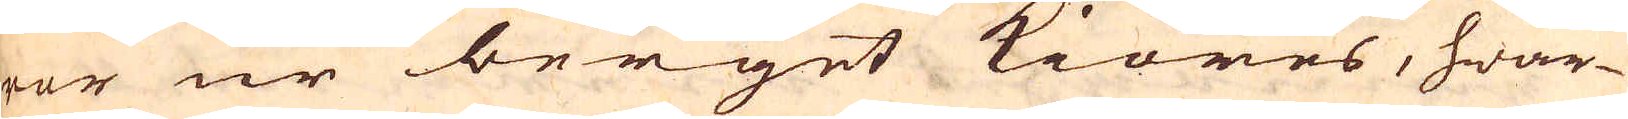ror ur berget kiöres, hwar-
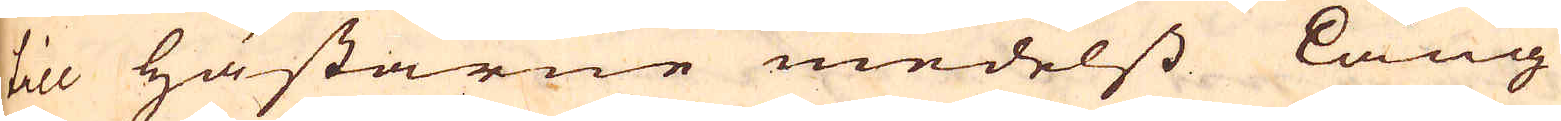till hästarne medelss lång
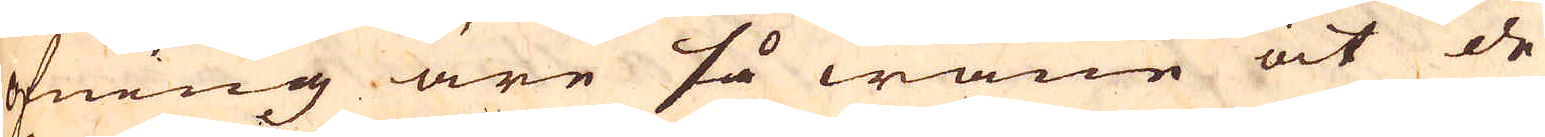öfning äre så wane at de
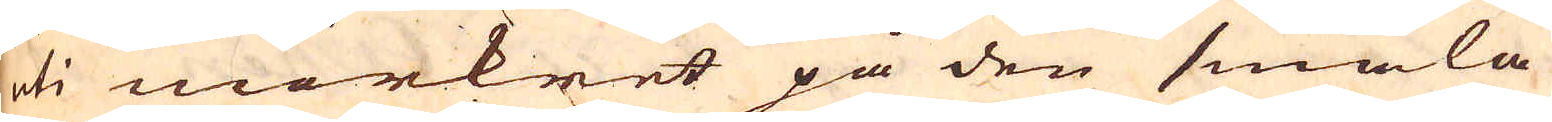uti mörkret på den smala
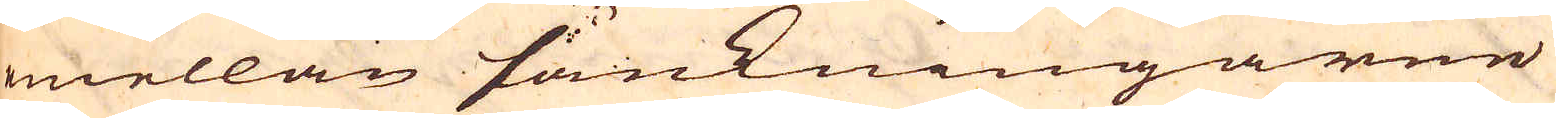mellan sänkningarne
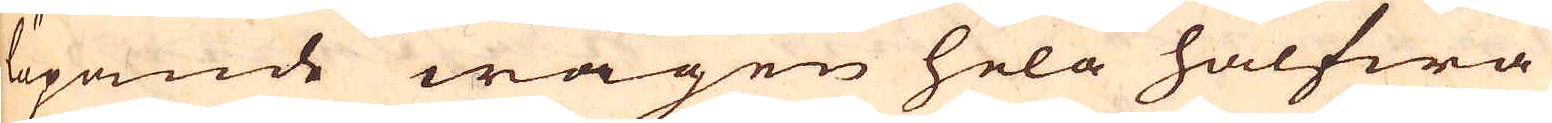löpande wägen hela halfwa
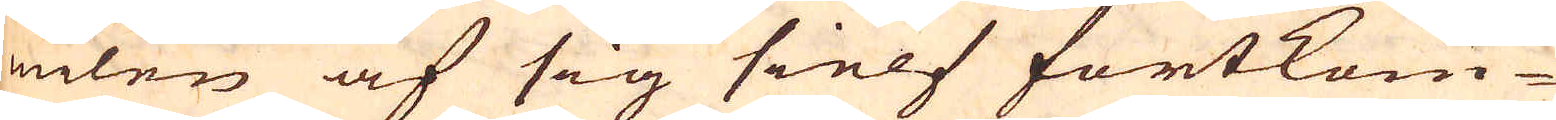milen af sig sielf fortkom-
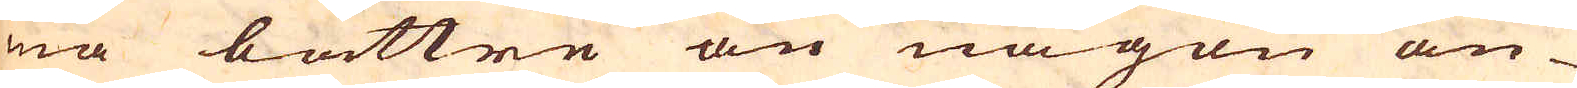ma bättre än någon an-
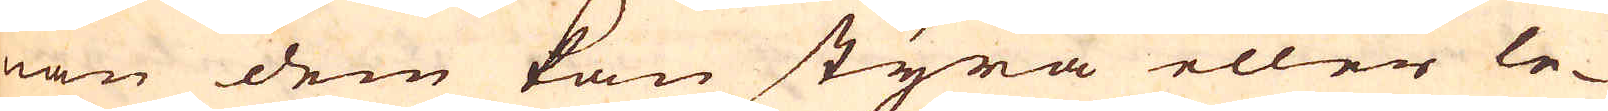nan dem kan styra eller le-
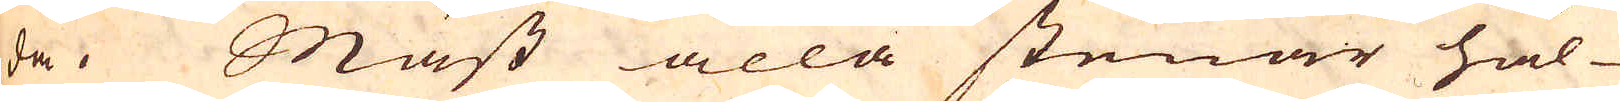da. Mäst alla stenar hål-
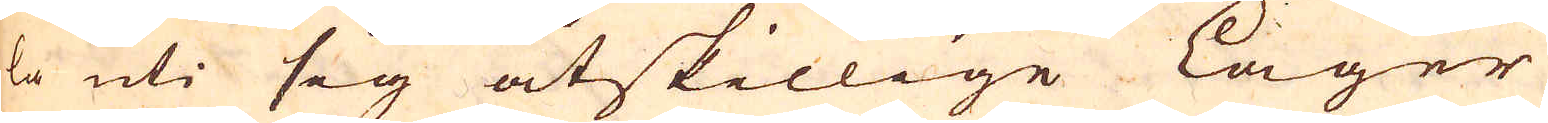la uti sig åtskillige lager
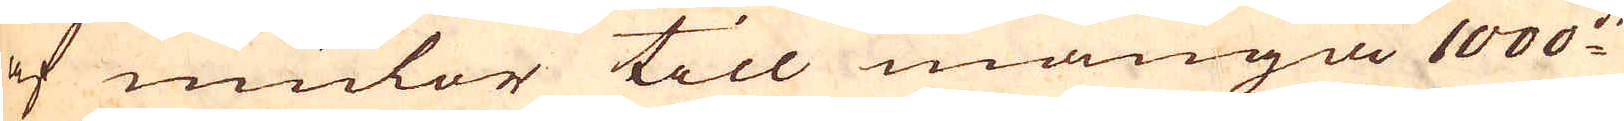af mulor till många 1000:de
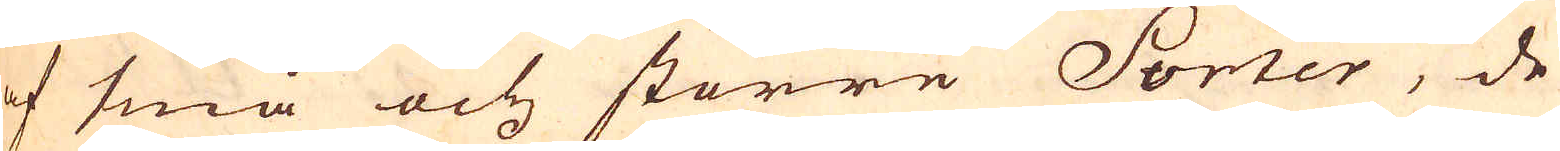af små och större Sorter, de
